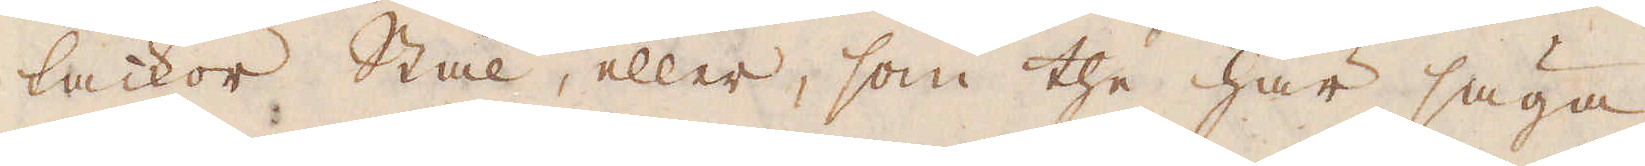tackor Stål, eller, som the här säga,
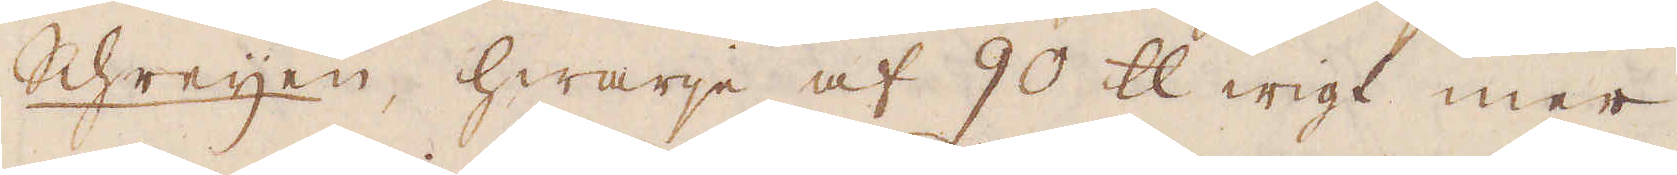Schreijen, hwarje af 90 skålpund wigt mer
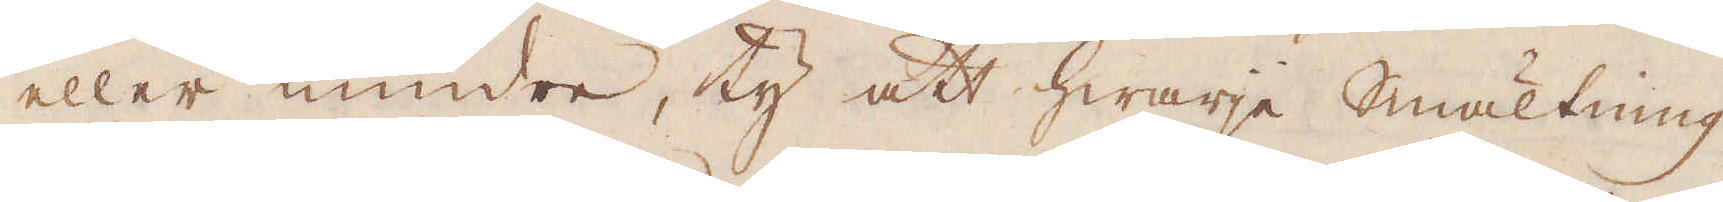eller mindre, ty att hwarje smältning
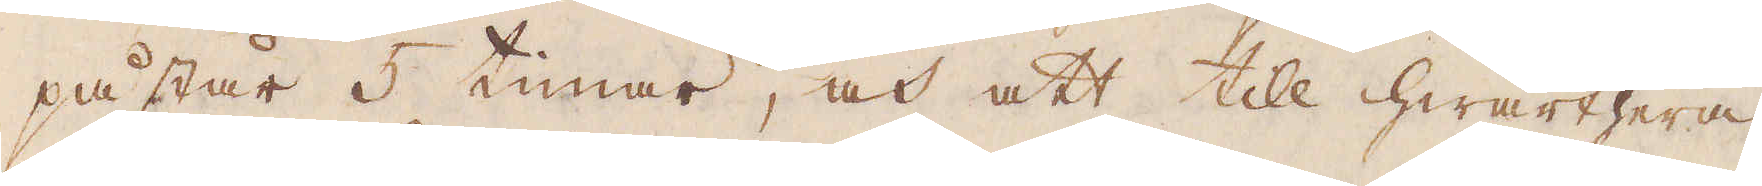påstår 5 timar, och att till hwarthera
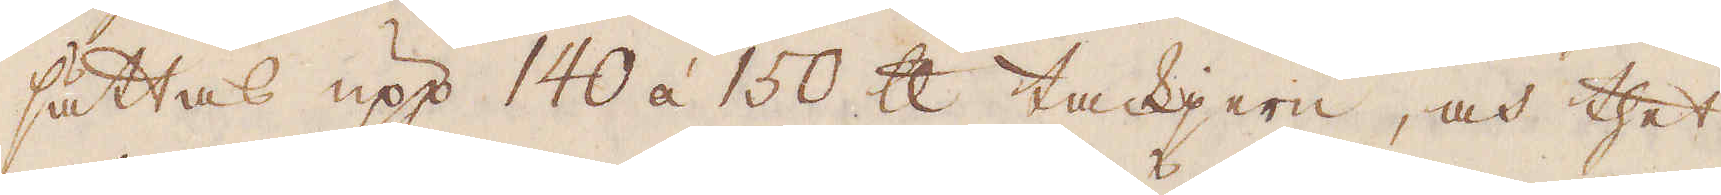sättas upp 140 á 150 skålpund tackjern, och thet
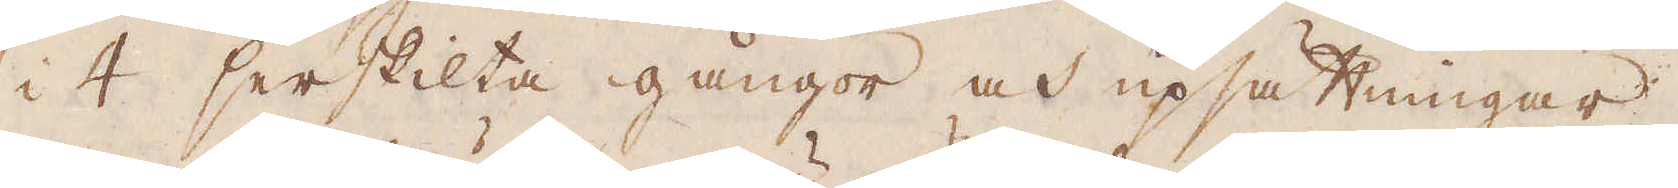i 4 serskilta gångor och upsättningar.
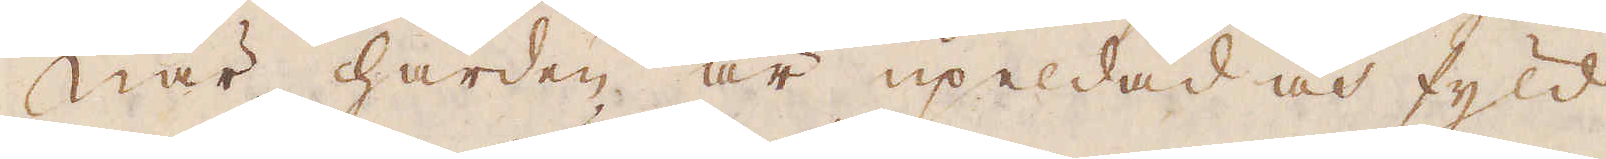När härden är upeldad och fyld
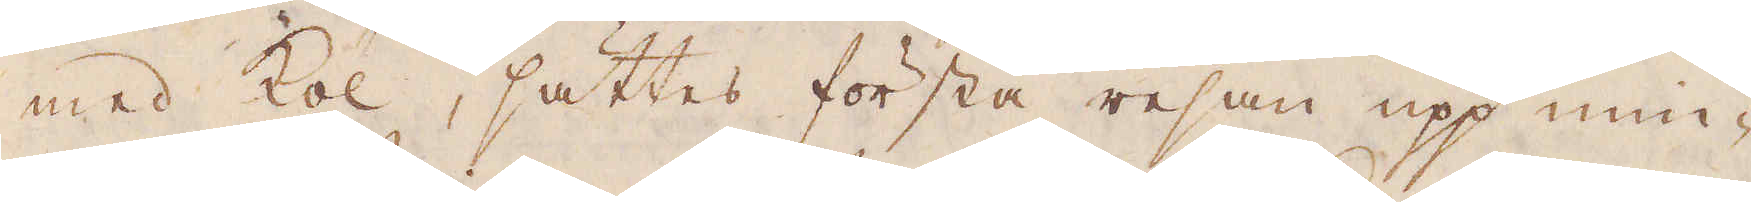med kol, sättes första resan upp min-
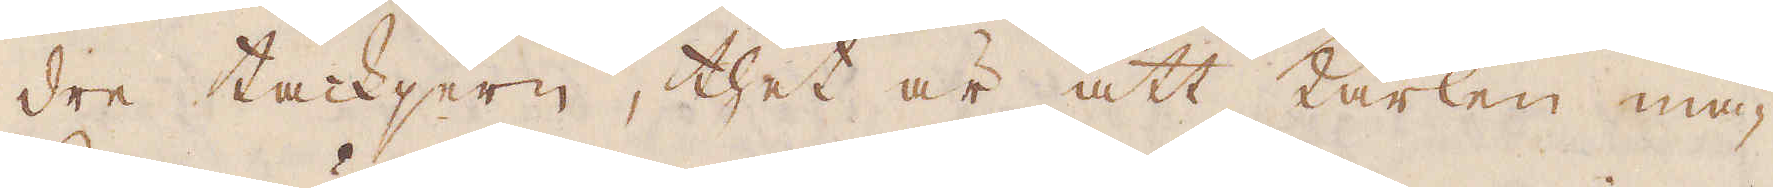dre tackjern, thet är att karlen ma-
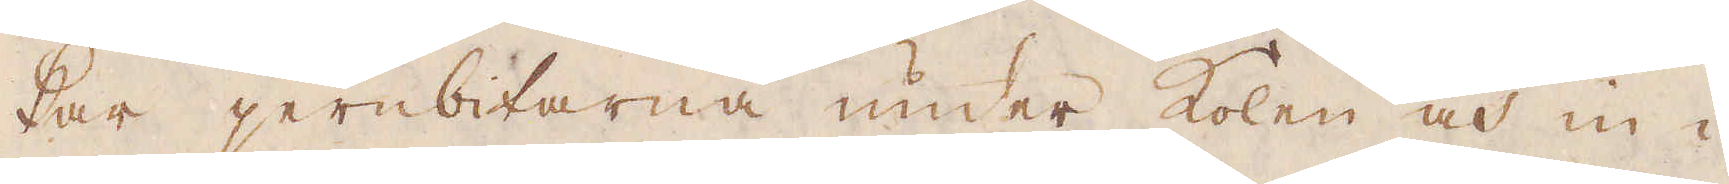kar jernbitarna under kolen och in i
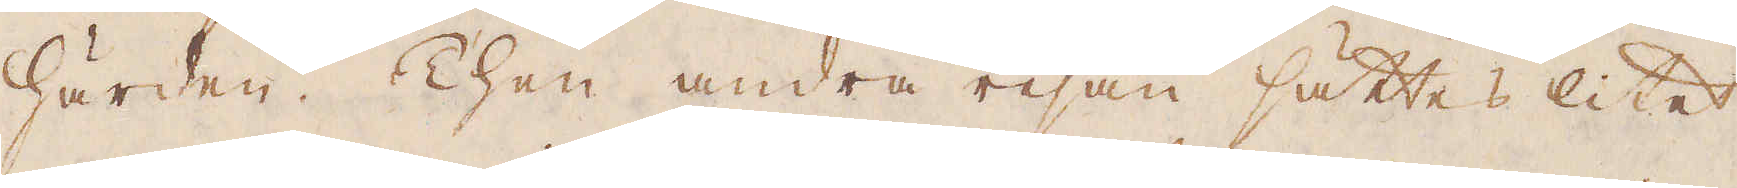härden. Then andra resan sättes litet
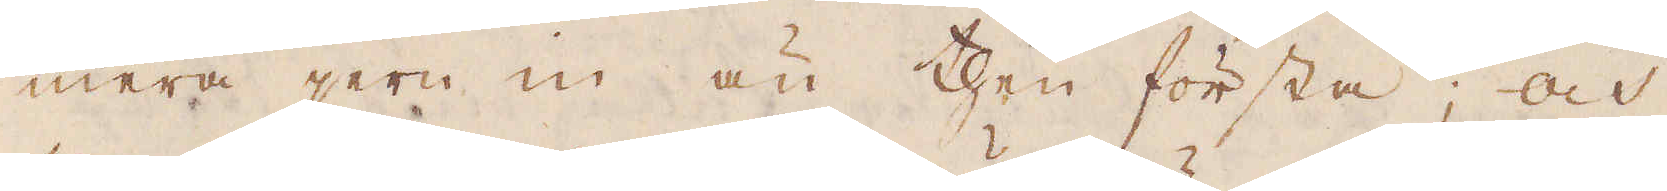mera jern in än then första; och
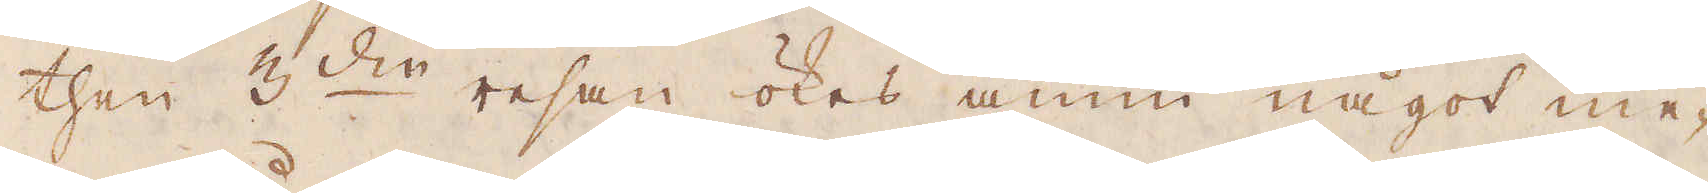then 3:die resan ökes ännu något me-
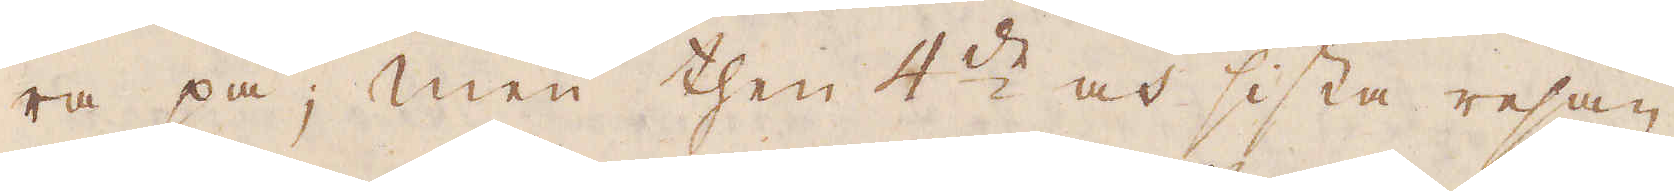ra på; men then 4:de och sista resan
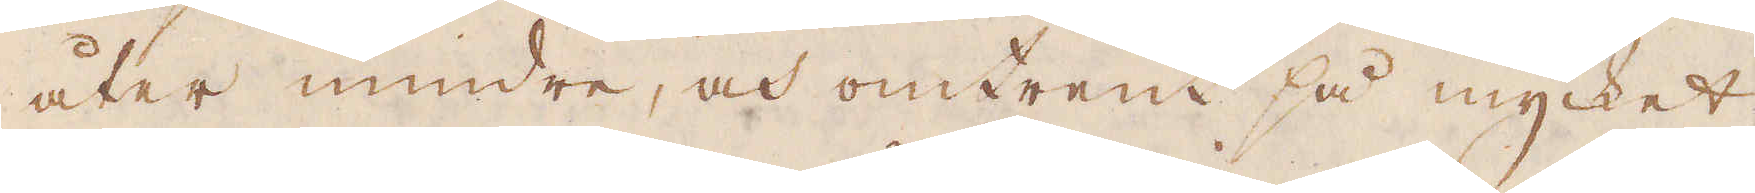åter mindre, och omtrent så mycket
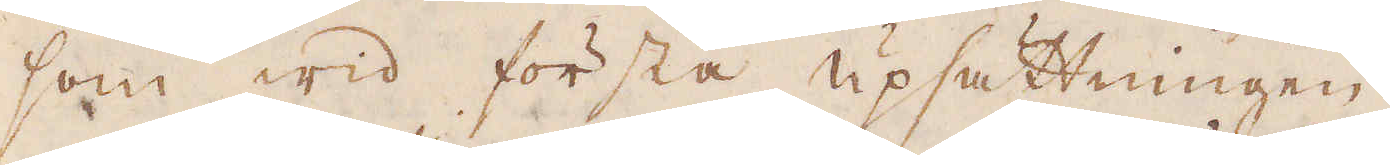som wid första upsättningen.
